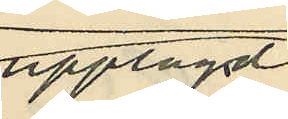upplagdt
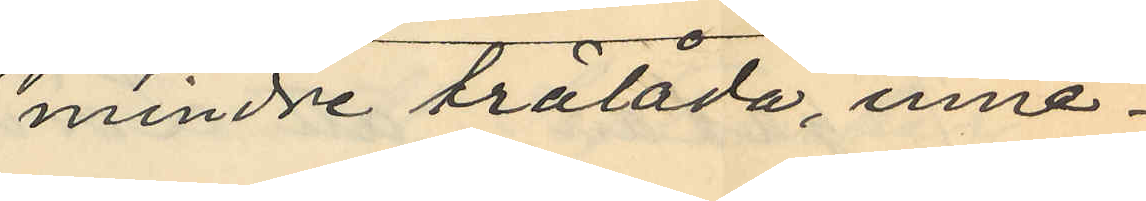mindre trälåda, inne¬
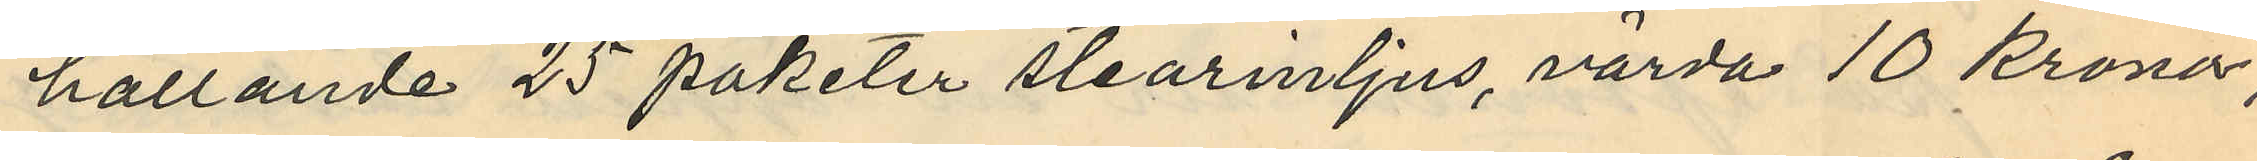hållande 25 paketer stearinljus, värda 10 kronor,
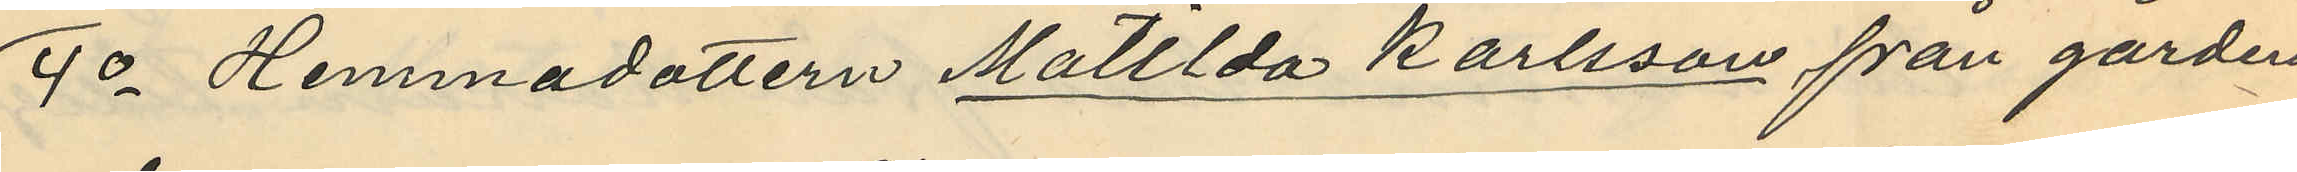4o Hemmadottern Matilda Karlsson från gården
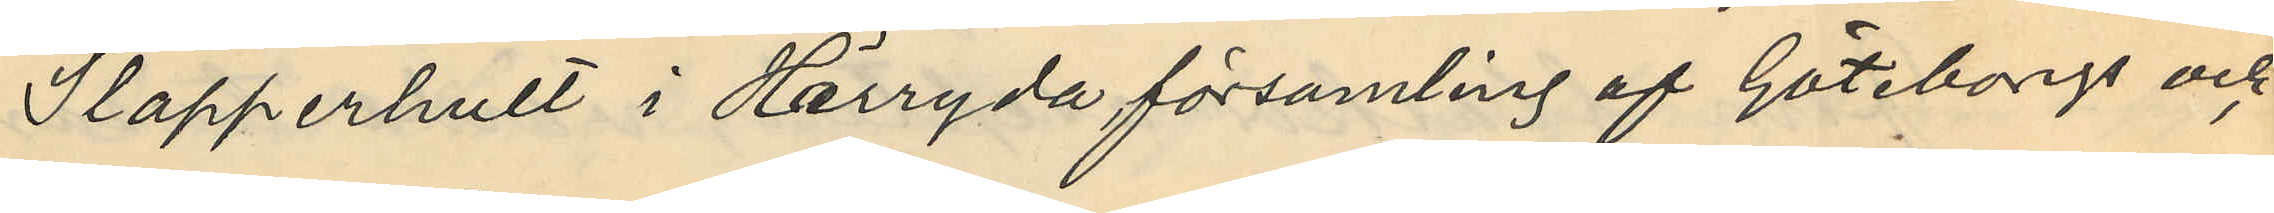Slapperhult i Härryda församling af Göteborgs och
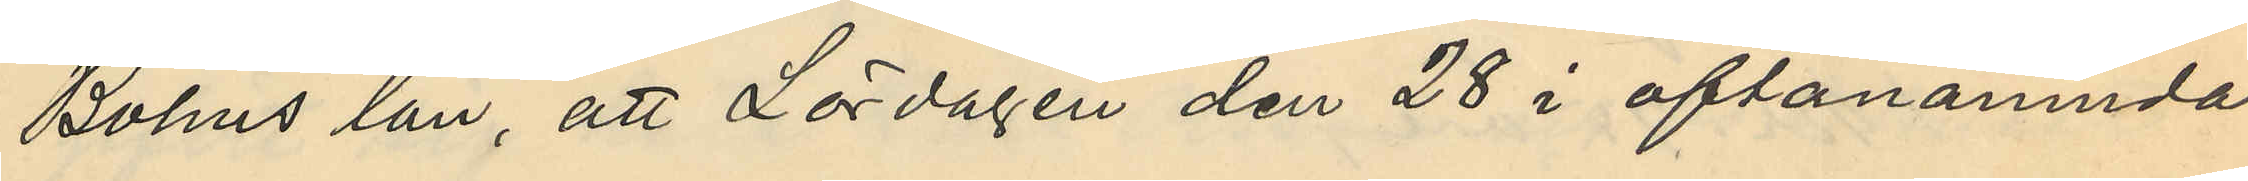Bohus län, att Lördagen den 28 i oftanämnda
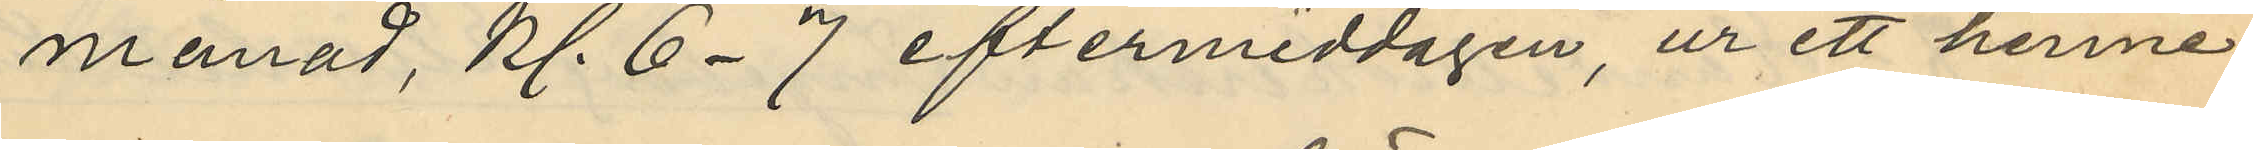månad, kl. 6-7 eftermiddagen, ur ett henne
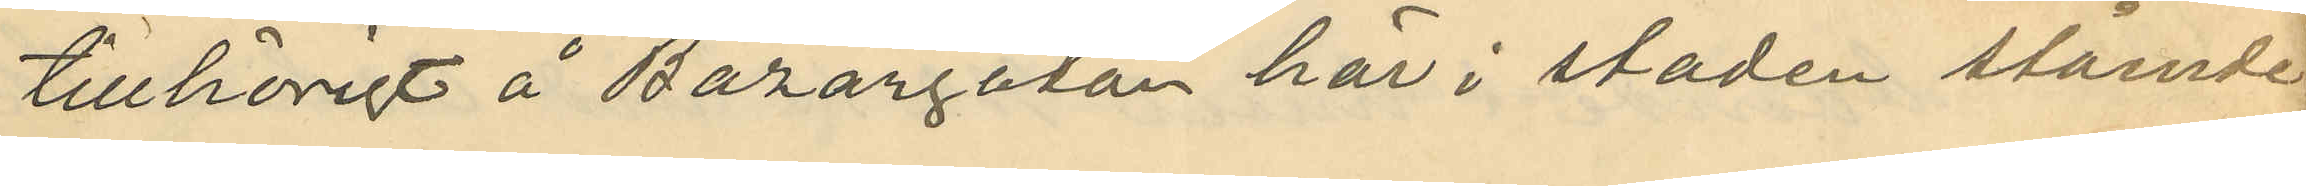tillhörigt å Bazargatan här i staden stående
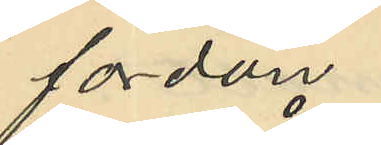fordon
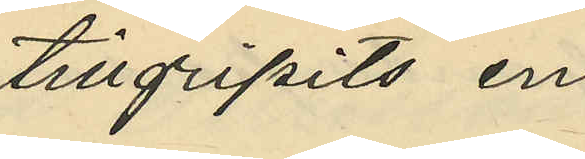tillgripits en
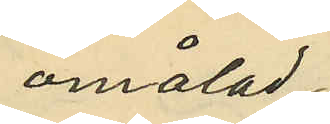omålad
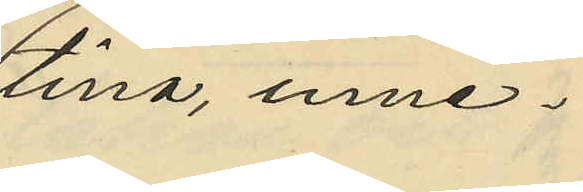tina, inne¬
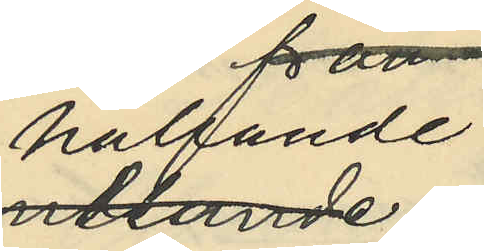hållande
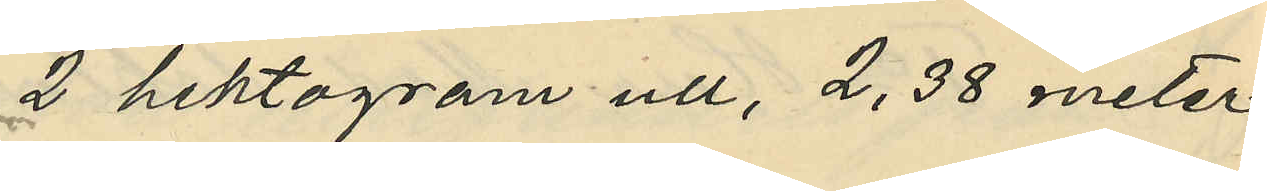2 hektogram ull, 2,38 meter
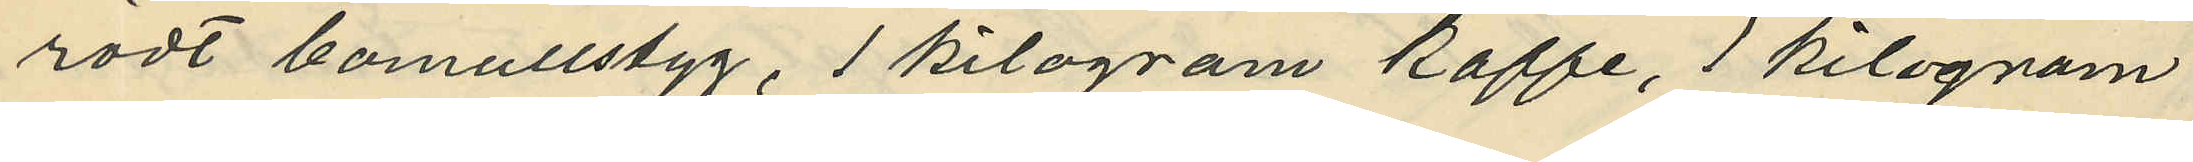rödt bomullstyg, 1 kilogram kaffe, 1 kilogram
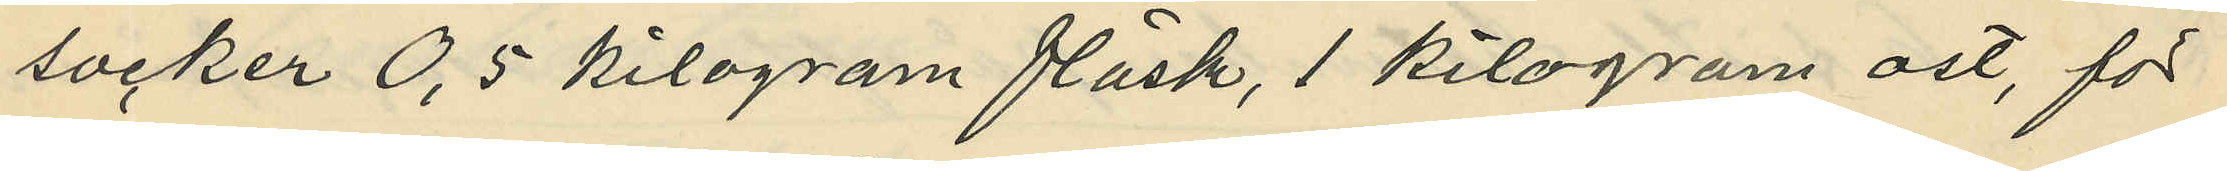socker 0,5 kilogram fläsk, 1 kilogram ost, för
